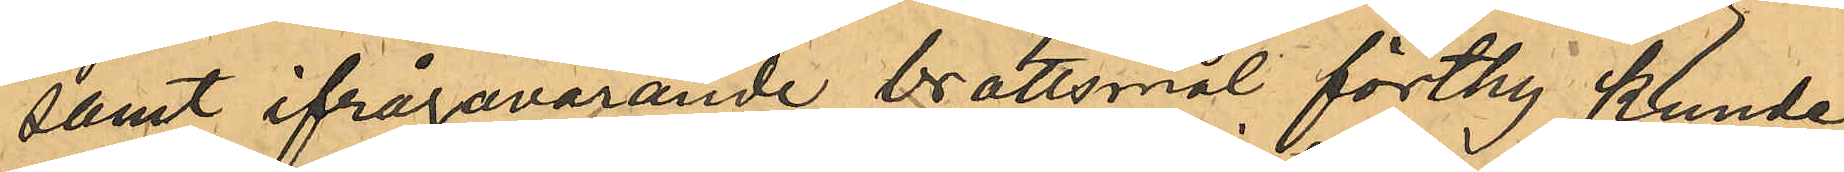samt ifrågavarande brottsmål förthy kunde
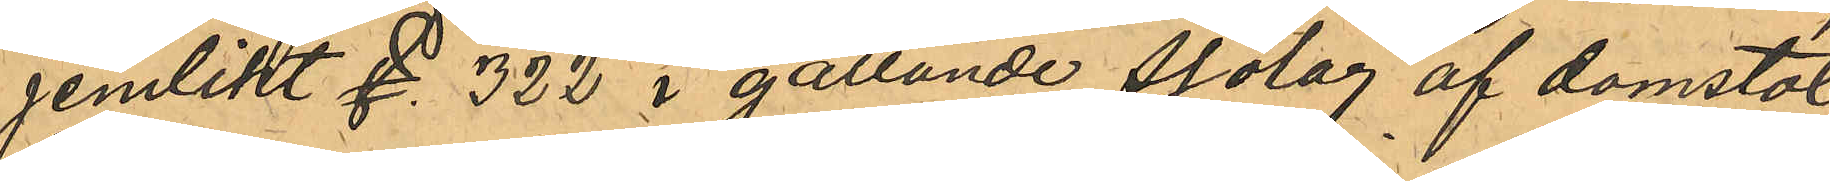jemlikt §. 322 i gällande Sjölag af domstol
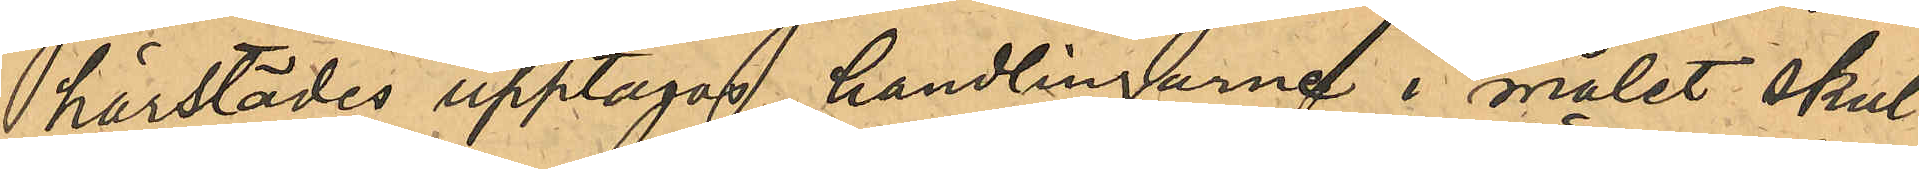härstädes upptagas, handlingarne i målet skul¬
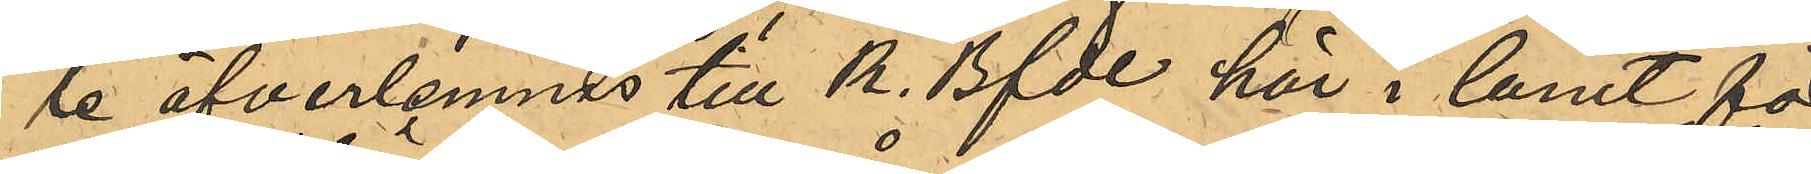le öfverlemnas till K. Bfde här i länet för
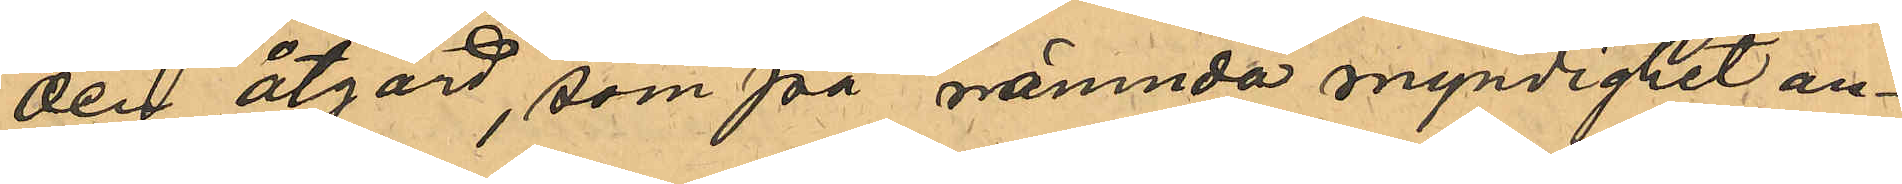den åtgärd, som på nämnda myndighet an¬
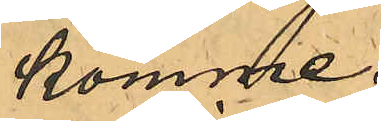komme.
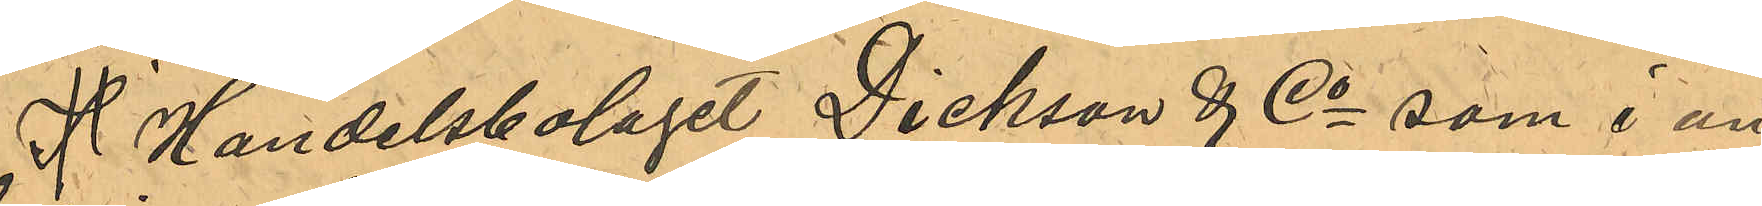I Handelsbolaget Dickson & Co som i an¬
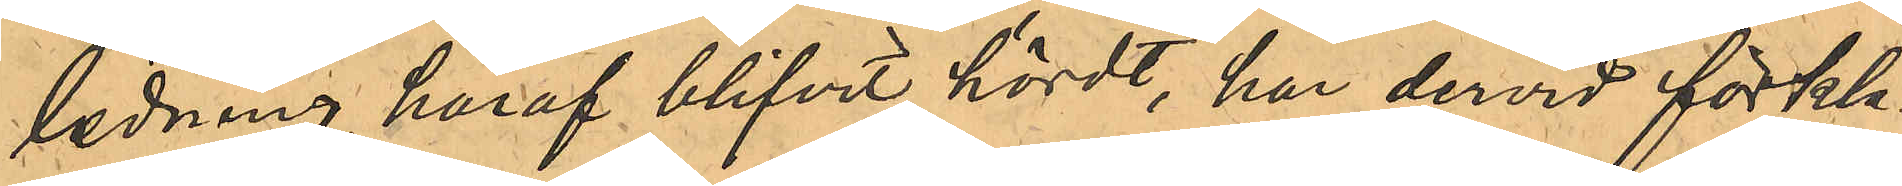ledning häraf blifvit hördt, har dervid förkla¬
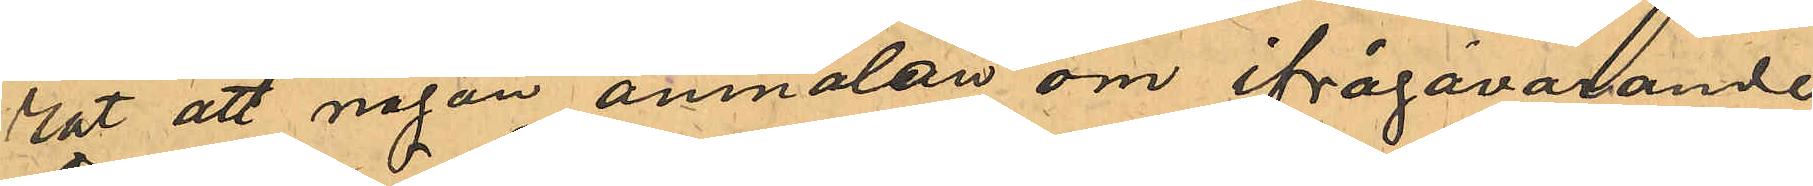rat att någon anmälan om ifrågavarande
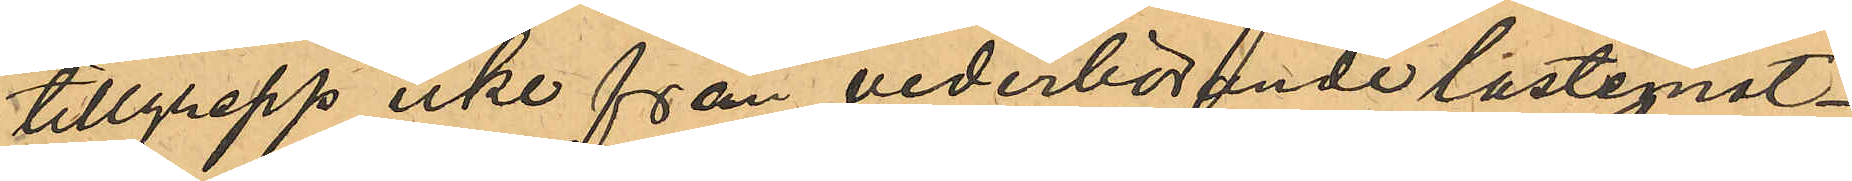tillgrepp icke från vederbörande lastemot¬
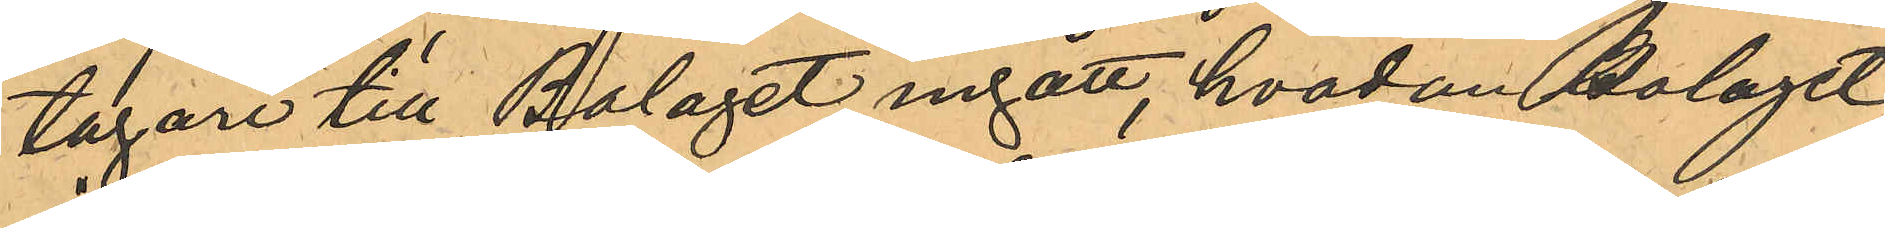tagare till Bolaget ingått, hvadan Bolaget
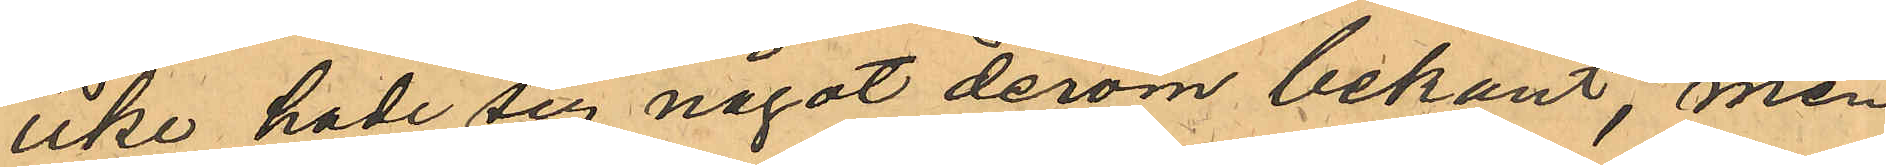icke hade sig något derom bekant, men
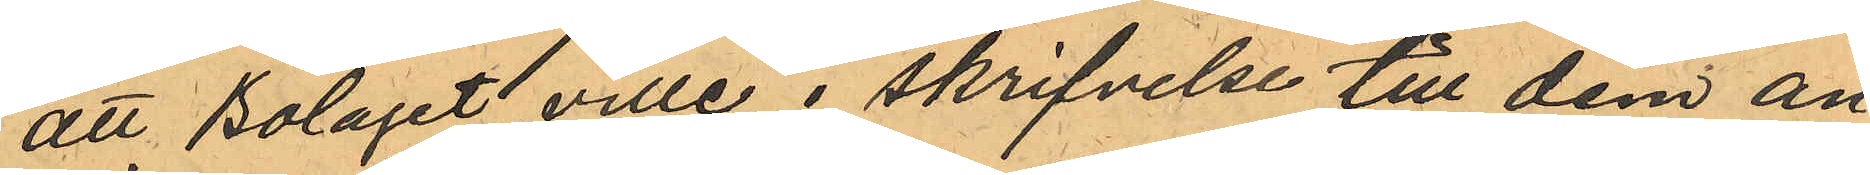att Bolaget ville i skrifvelse till dem an¬
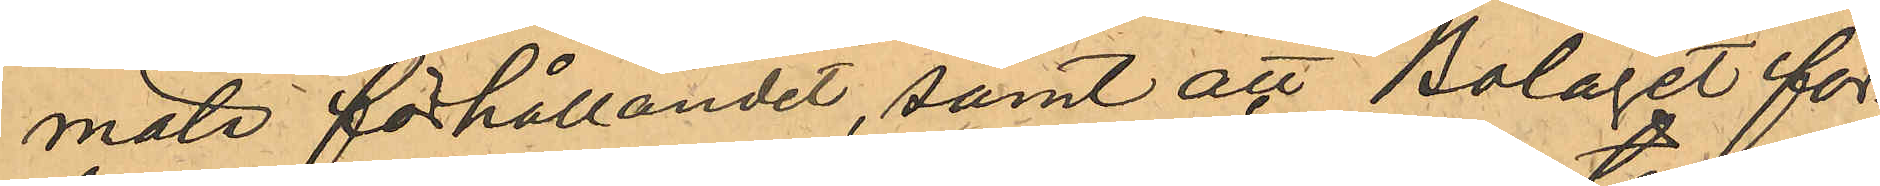mäla förhållandet, samt att Bolaget för¬
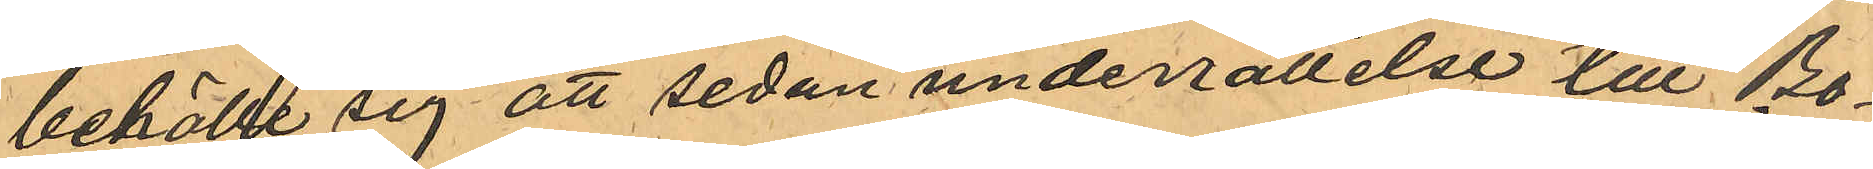behålle sig att sedan underrättelse tlll Bo¬
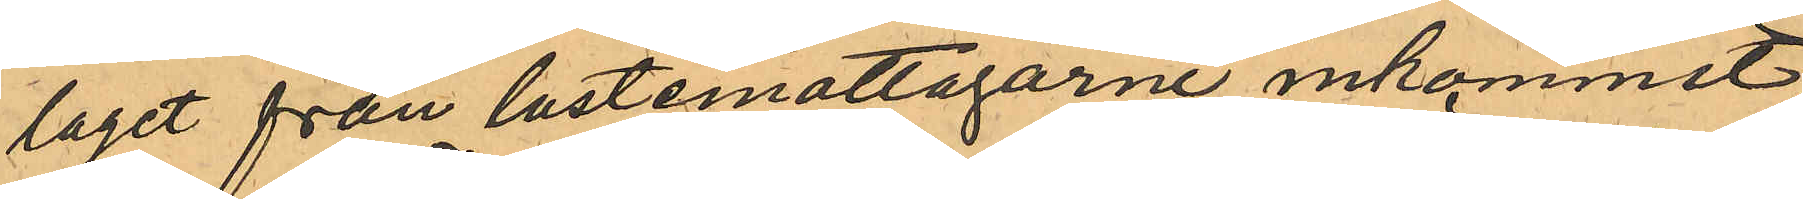laget från lastemottagarne inkommit,
